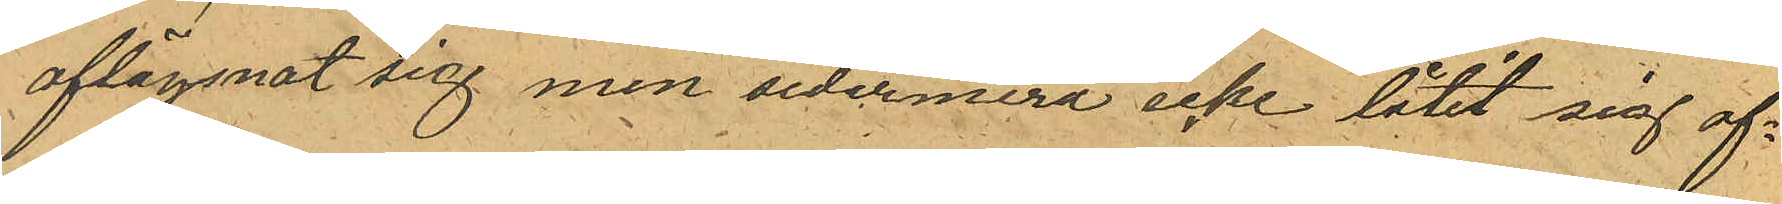aflägsnat sig men sedermera icke låtit sig af¬
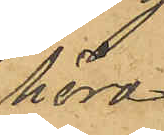höra
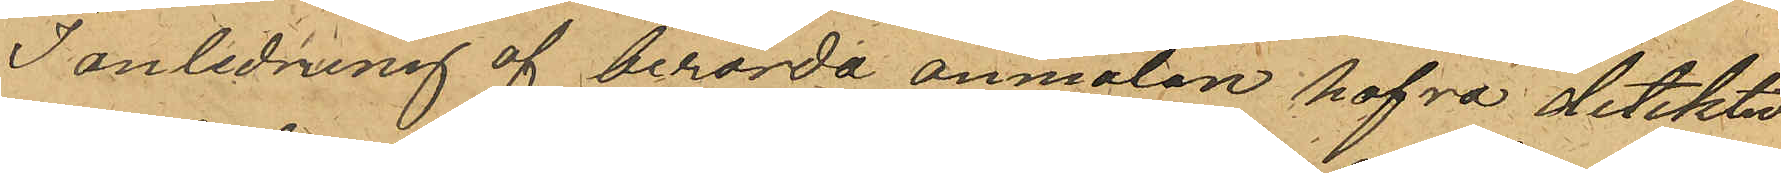I anledning af berörda anmälan hafva detektiv¬
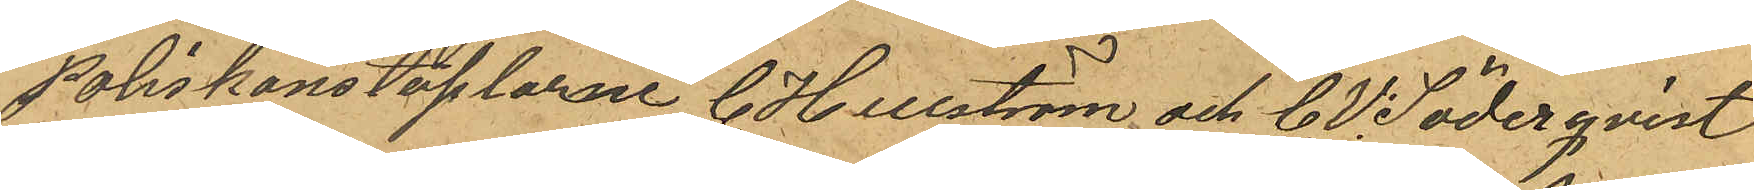Poliskonstaplarne C. Hellström och C. V. Söderqvist
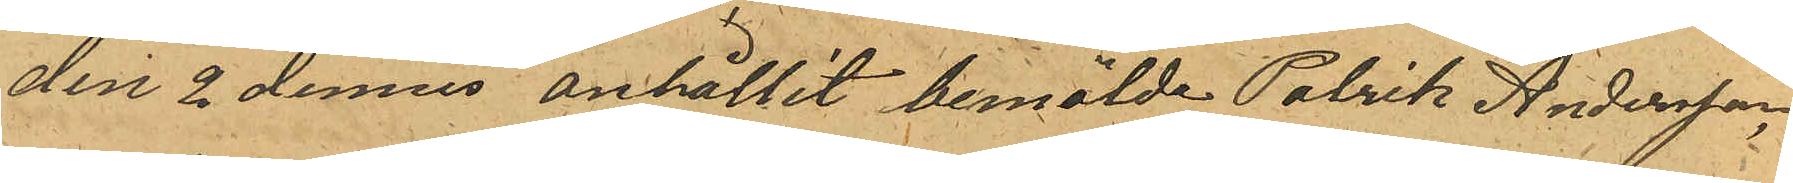den 2 dennes anhållit bemälde Patrik Andersson
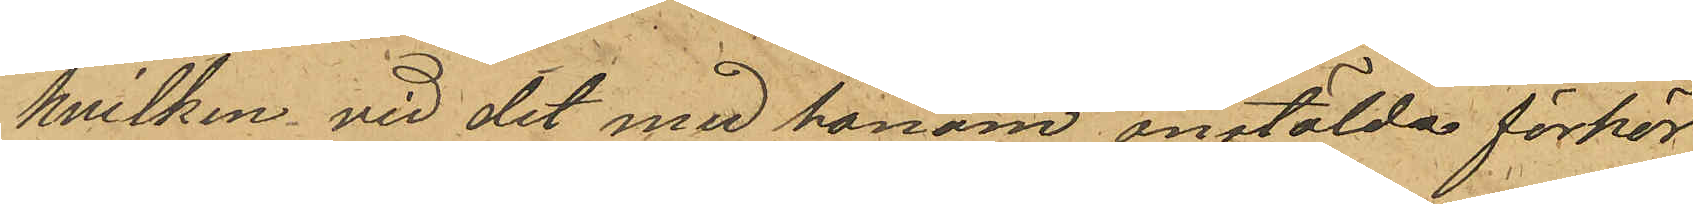hvilken vid det med honom anstälda förhör
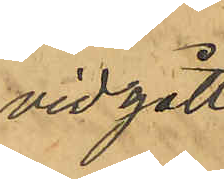vidgått
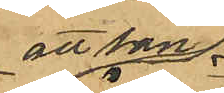att han
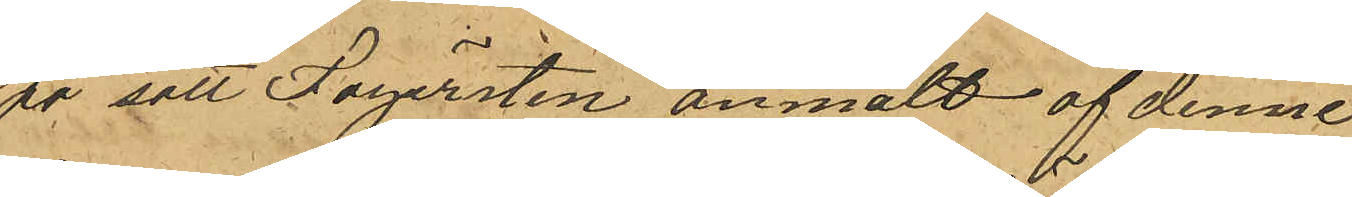på sätt Fägersten anmält af denne
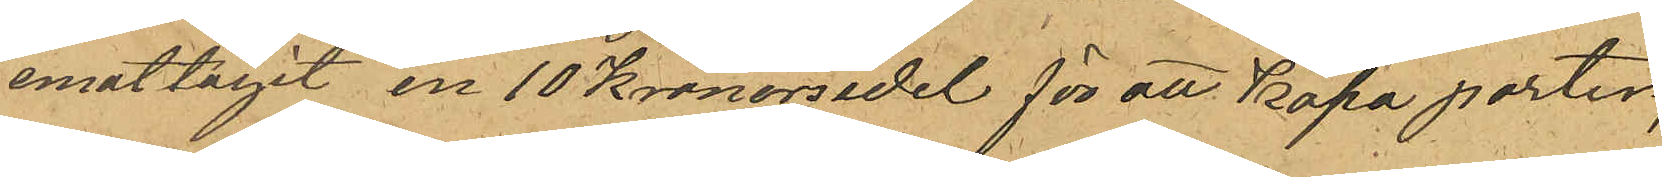emottagit en 10 kronorsedel för att Köpa porter,
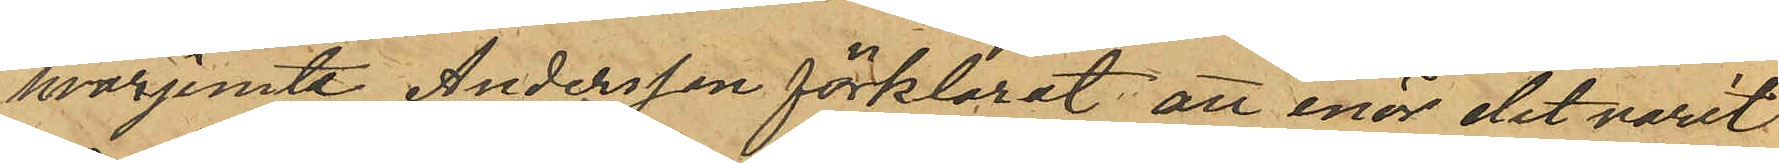hvarjemte Andersson förklarat att enär det varit
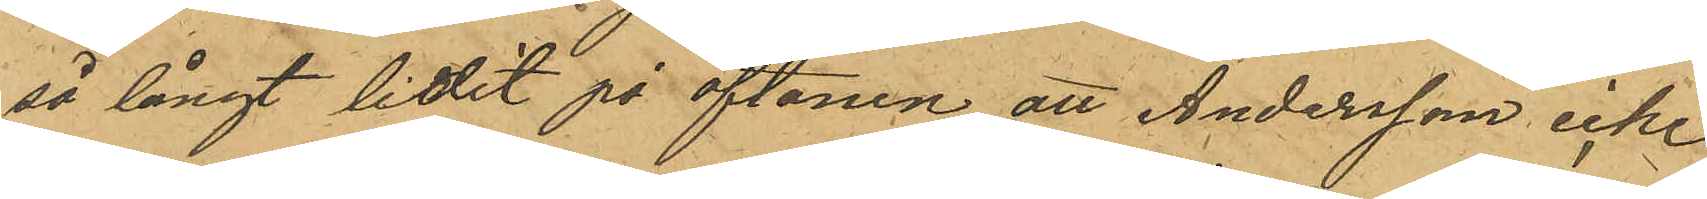så långt lidit på aftonen, att Andersson icke
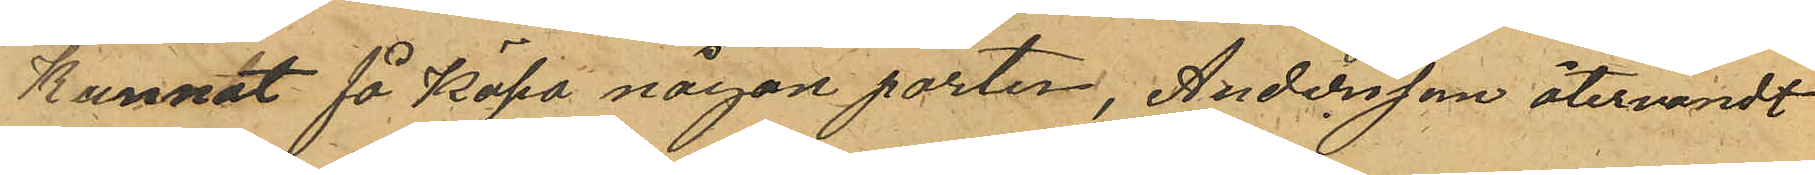Kunnat få Köpa någon porter, Andersson återvändt
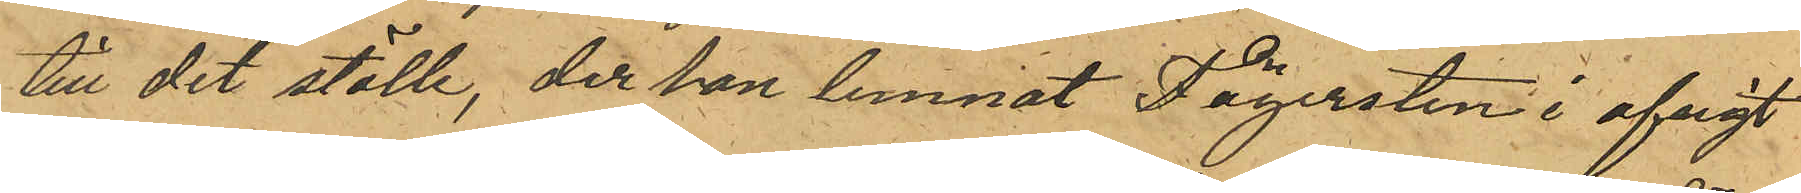till det ställe, der han lemnat Fägersten i afsigt
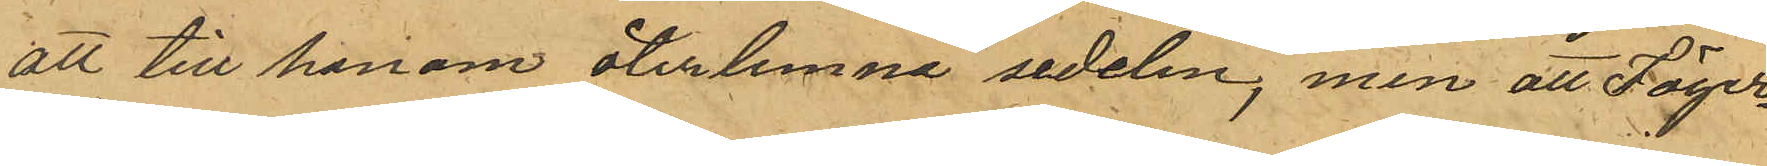att till honom återlemna sedeln; men att Fäger¬
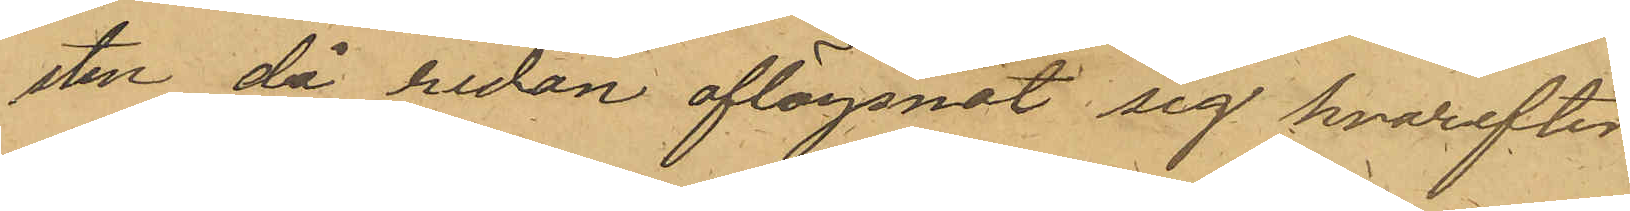sten då redan aflägsnat sig hvarefter
